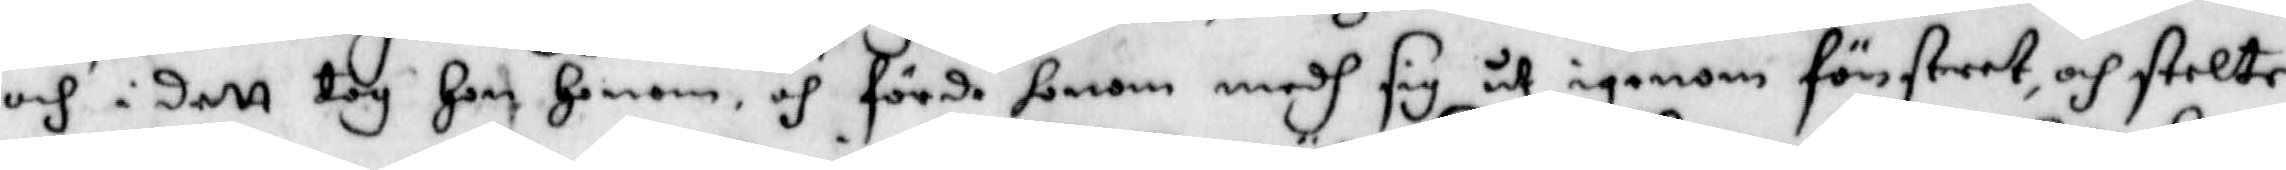och i dett tog Hon Honom och förde honom medh sig åt igenom fönstret, och stelte
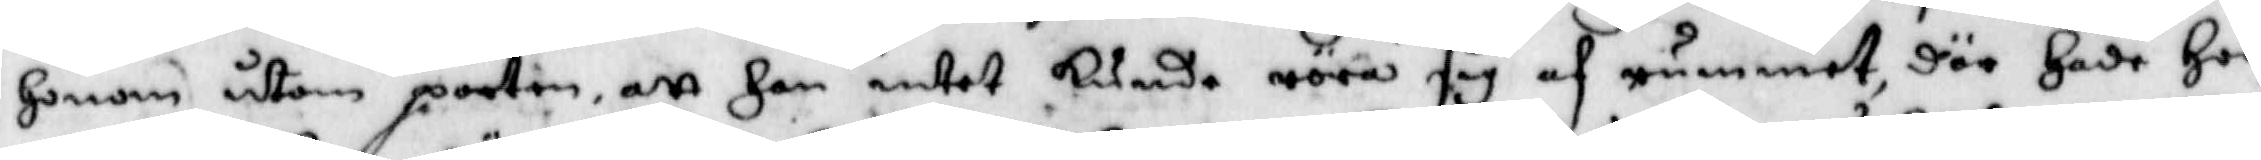Honom utom porten att Han intet kunde röra sig af rummet, där Hade Hon
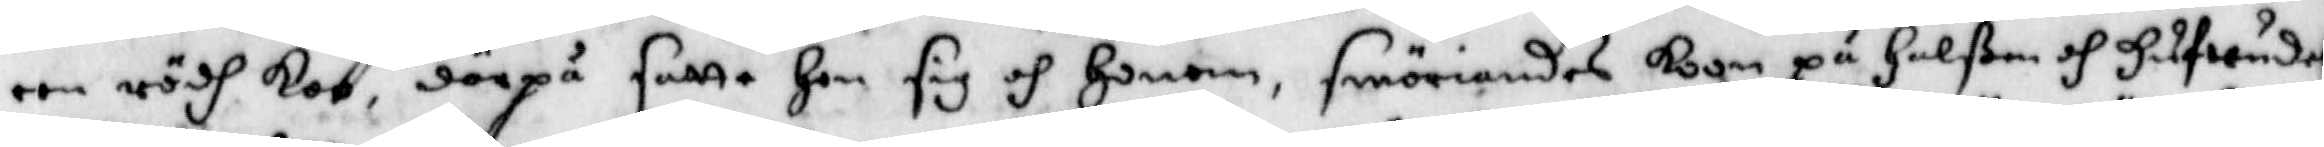een rödh koo, därpå satte Hon sig och Honom smöriandes koon på Halßen och Hufwudet
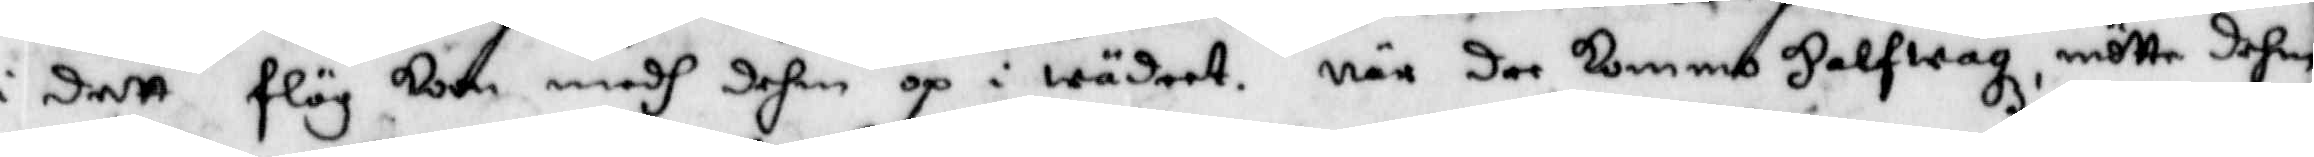i dett flög koon medh dehm op i wädret. När dee kommo Halfwägz, mötte dehm
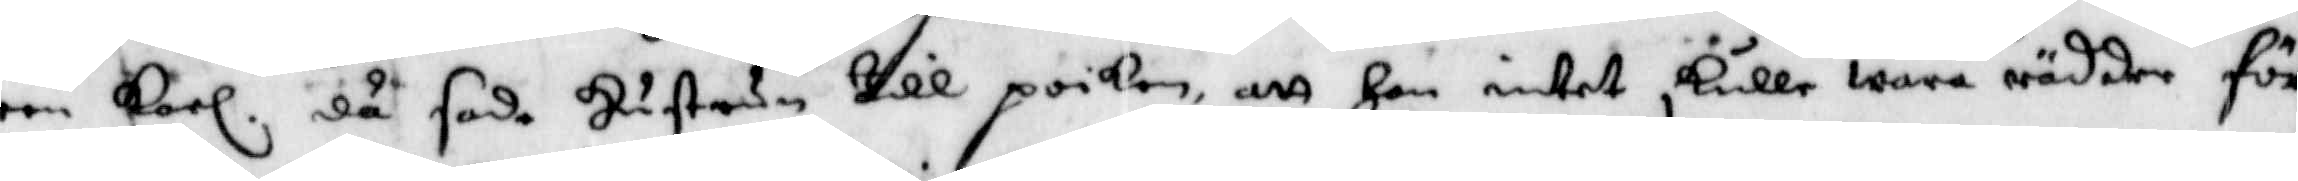een karl. då sade Hustrun till poiken att Han intet skulle wara rädder för
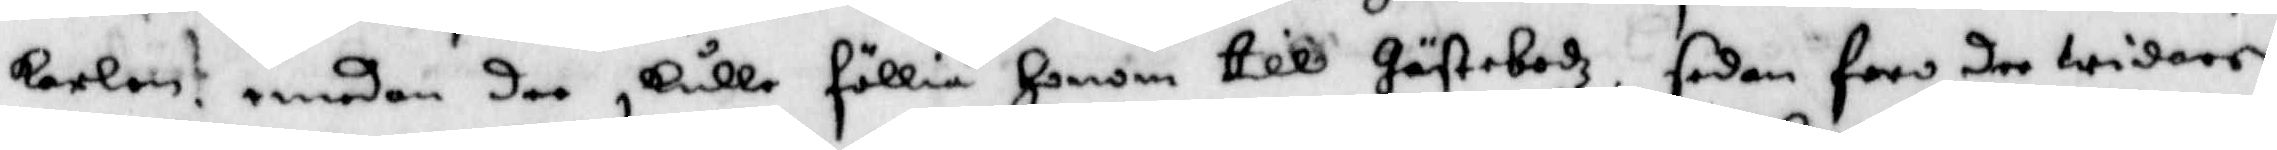karlen. emedan de skulle föllia Honom till Gästebodz. sedan foro dee widare
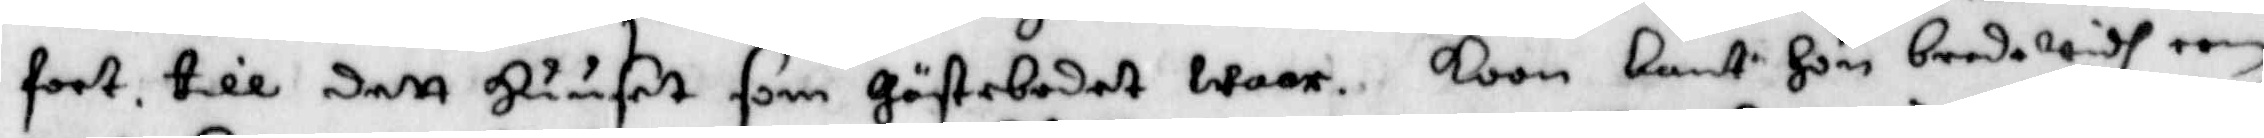fort till dett Huuset som Gätsebodet waar. koon bant Hon bredwidh een
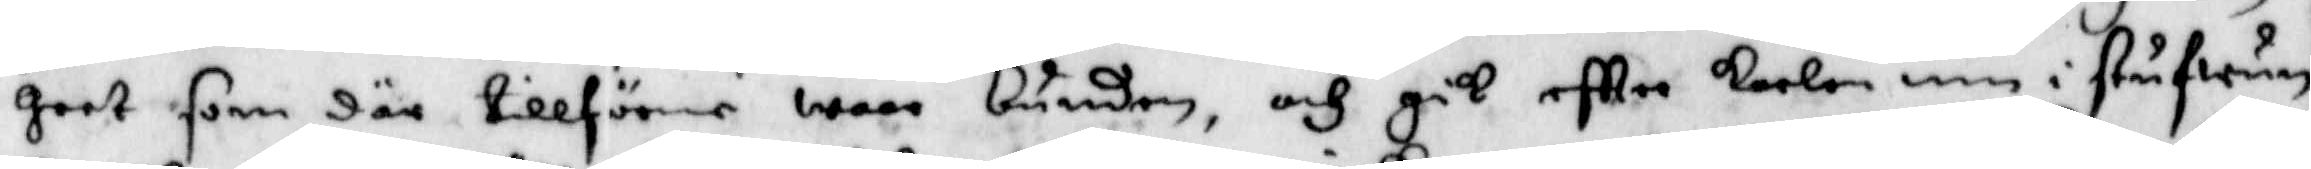Geet som där tillförene wore bunden, och gik eftter karlen inn i stufwun
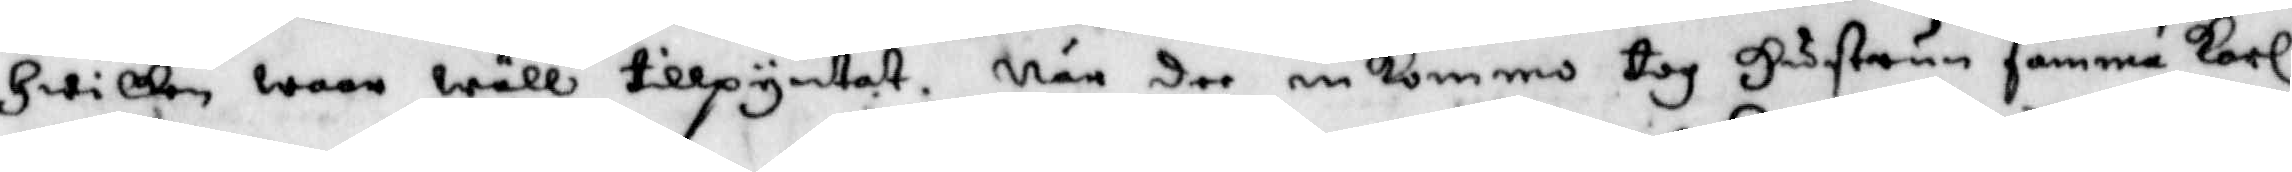Hwilken woro wäll tillpyntat. När dee inkommo tog Hustrun samma karl
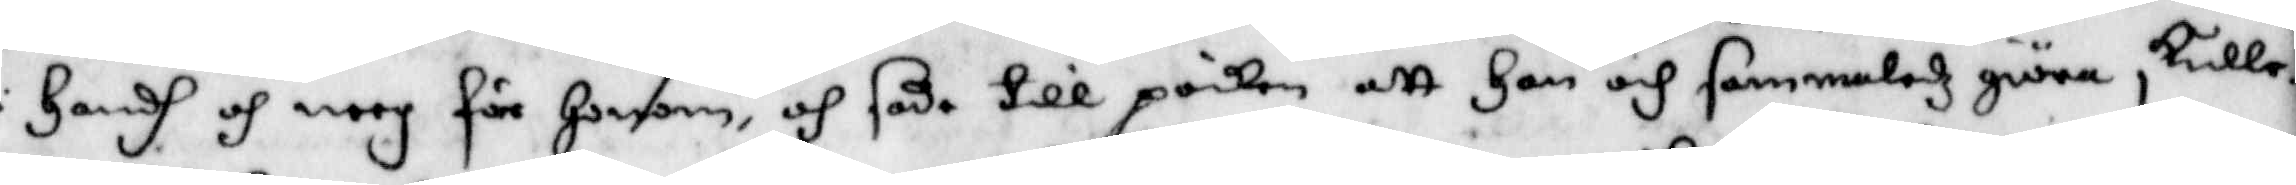i Handh och neeg för Honom, och sade till poiken att han och sammaledz giöra skulle
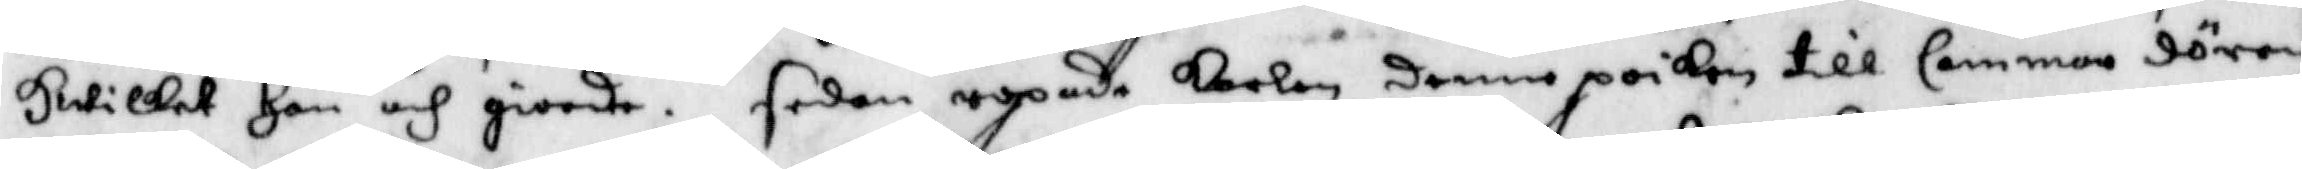Hwilket Han och giorde. sedan ropade karlen denne poiken till Cammar dörren
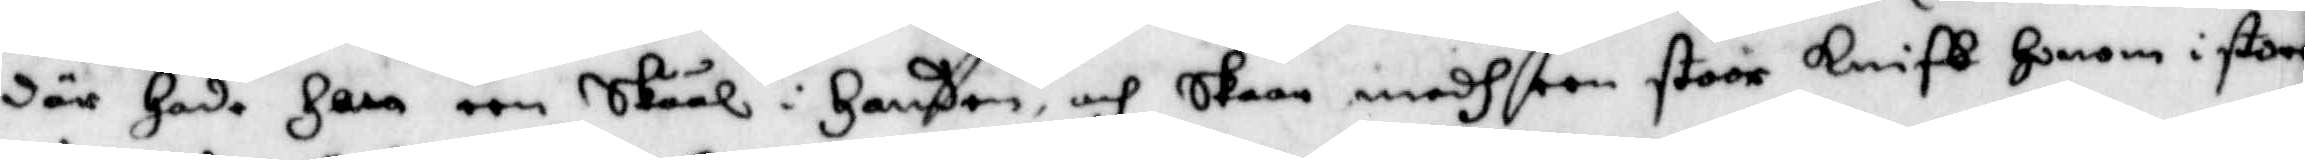där Hade Han een Skåål i Handen och skaar medh een stoor kniff Honom i stora
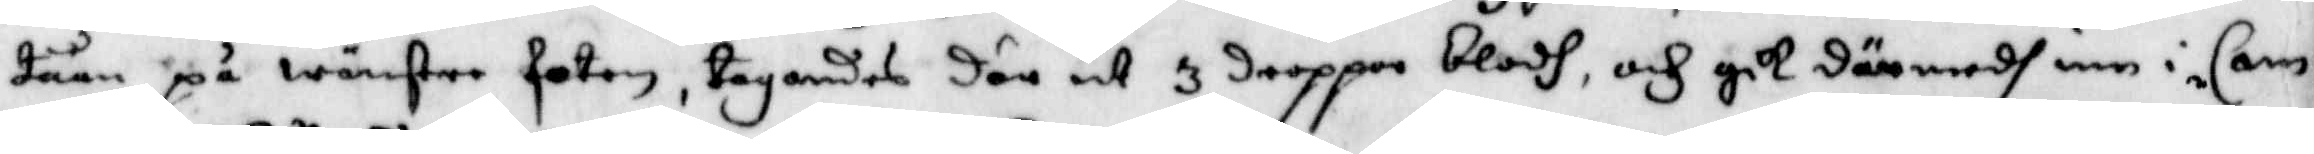tåån på wänster foten, tagandes där ut 3 droppar blodh, och gik där medh inn i Cam¬
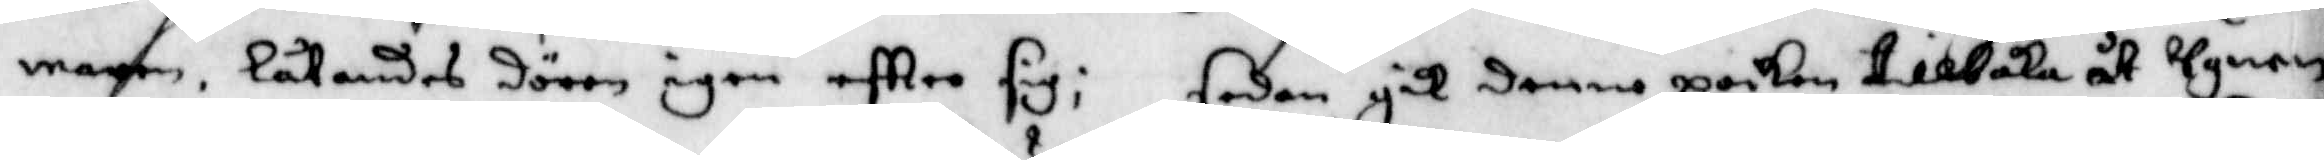maren, låtandes dören igen eftter sig; sedan gik denne poiken tillbaka åt ugnen
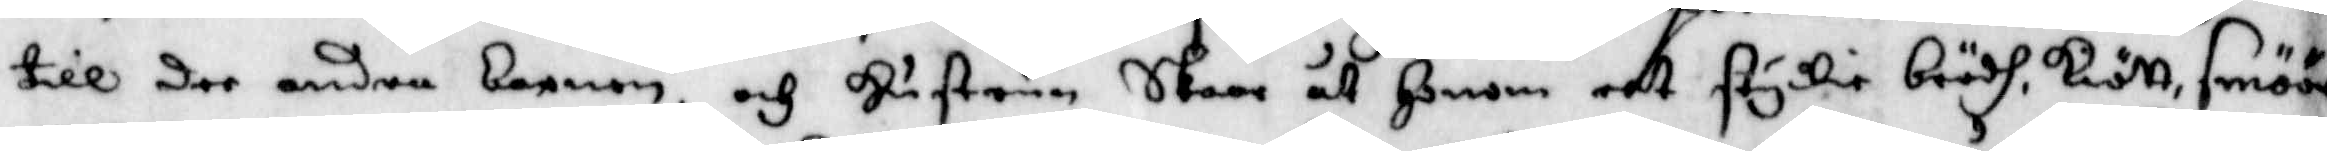till dee andra barnen. och Hustrun Skaar åt Honom eet stykie brödh, kött, smöör
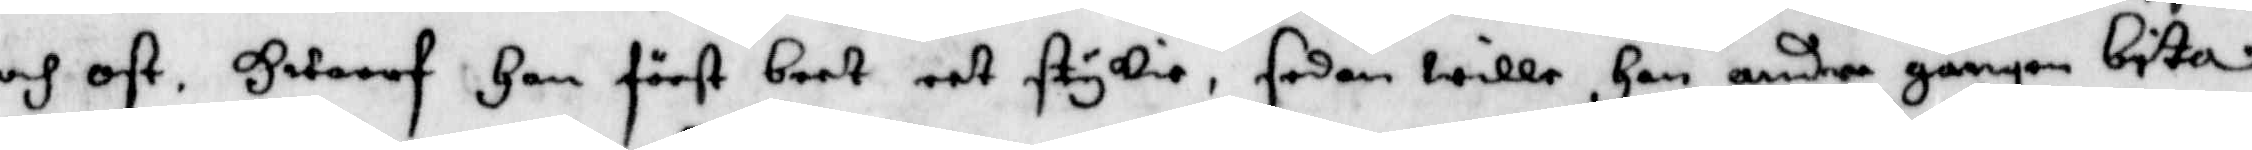och ost. Hwaraf han först beet eet stykie, sedan wille Han andra gången bita
